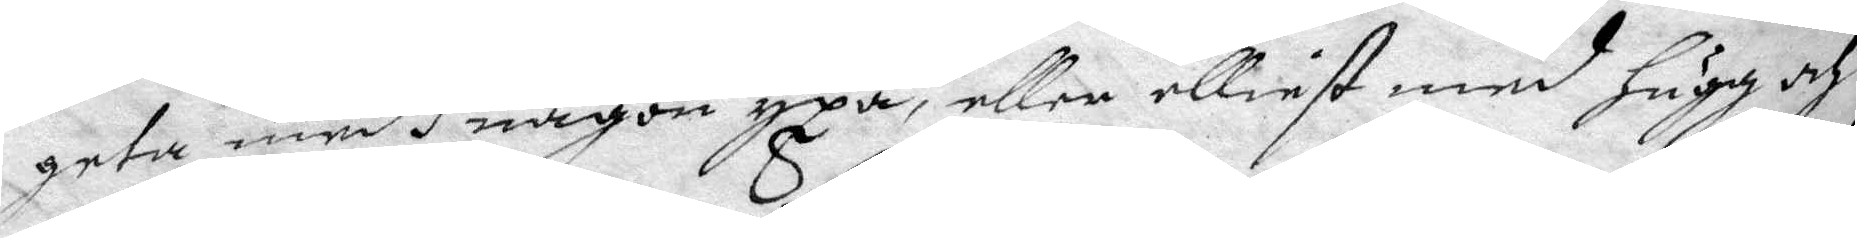geta medh någon yxa, eller elleist med hugg och
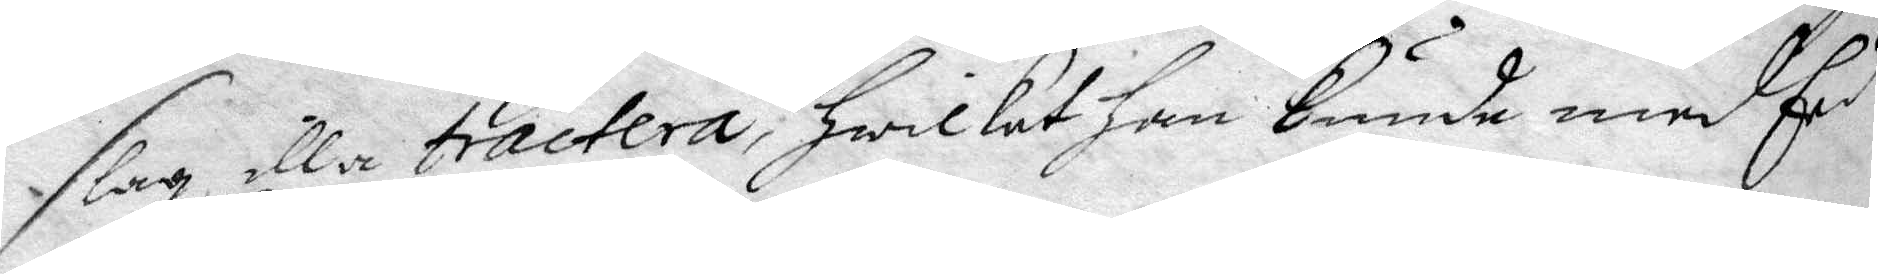slag illa tractera, hwilket han kunde med Eed
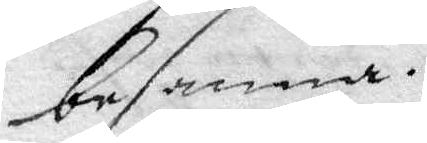besanna.
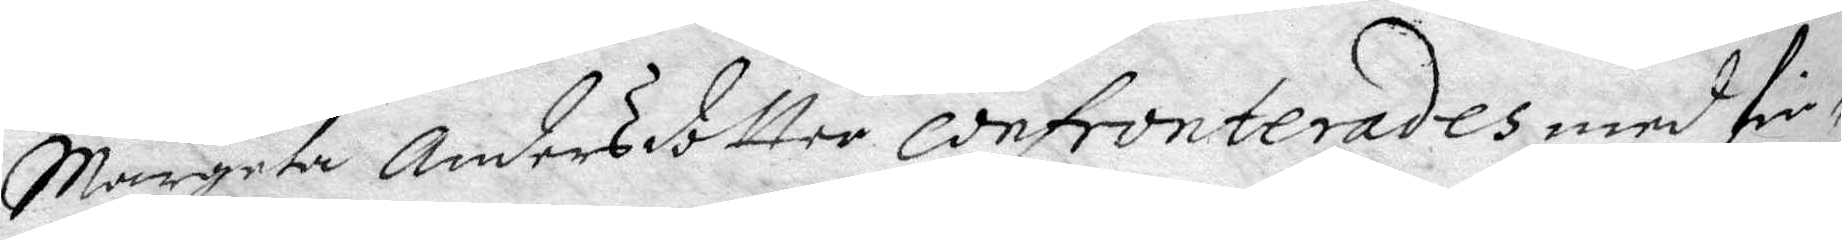Margeta Andersdotter confronterades med fin¬
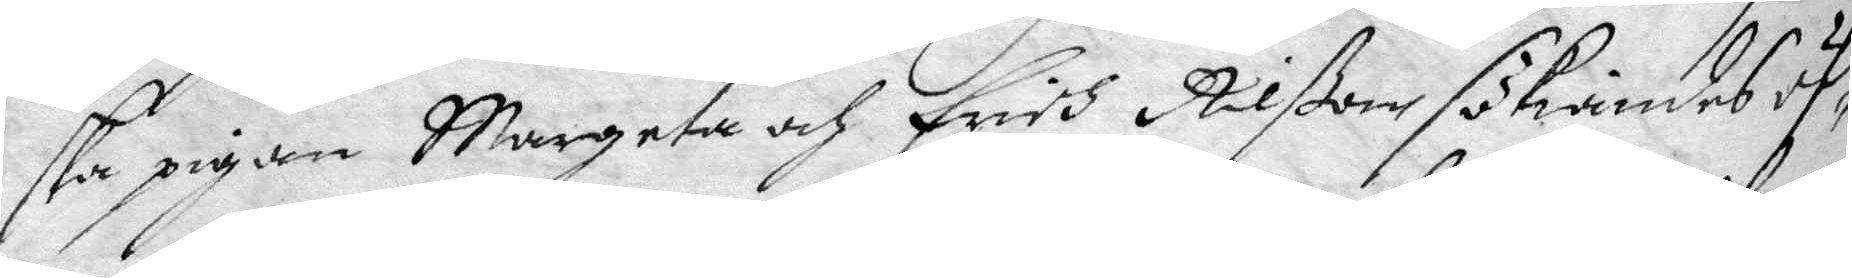ska pigan Margeta och Erich Nilßon sökiandes öf¬
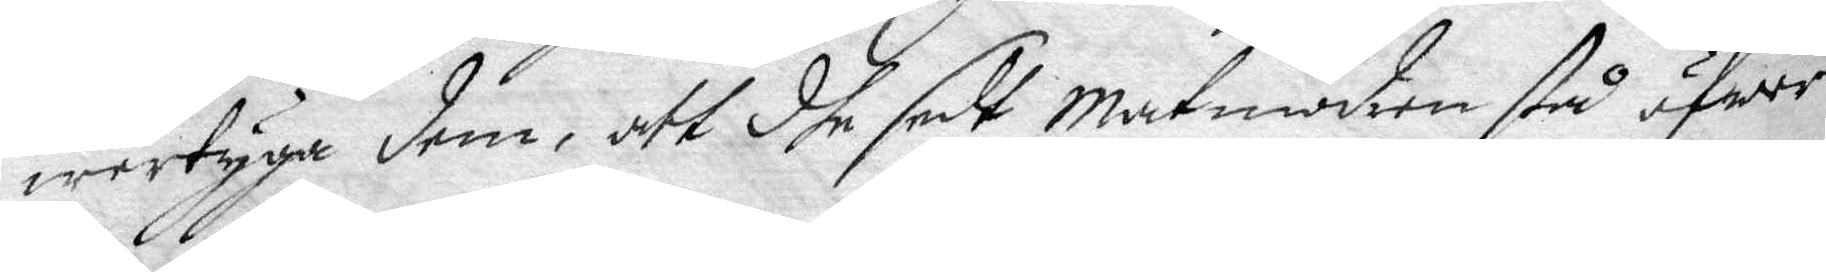wertyga dem, att dhe sett Matmodren stå öfwer
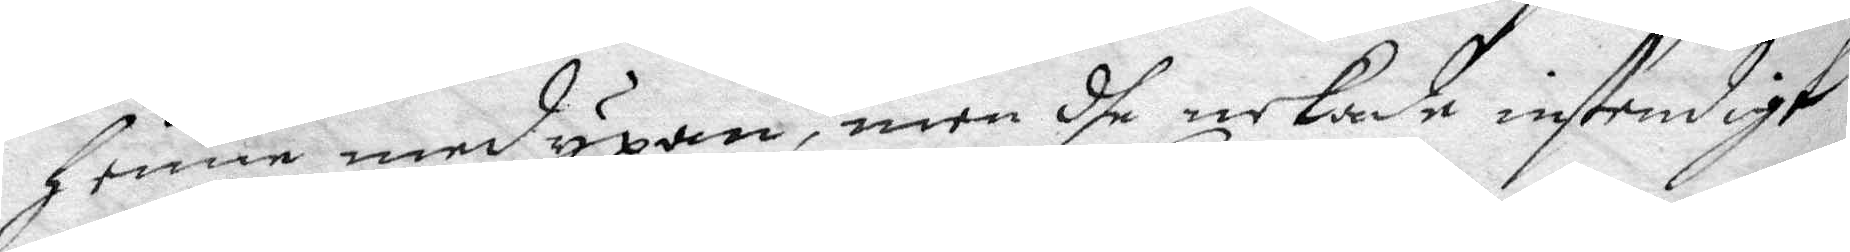henne med yxan, men dhe nekade instendigt.
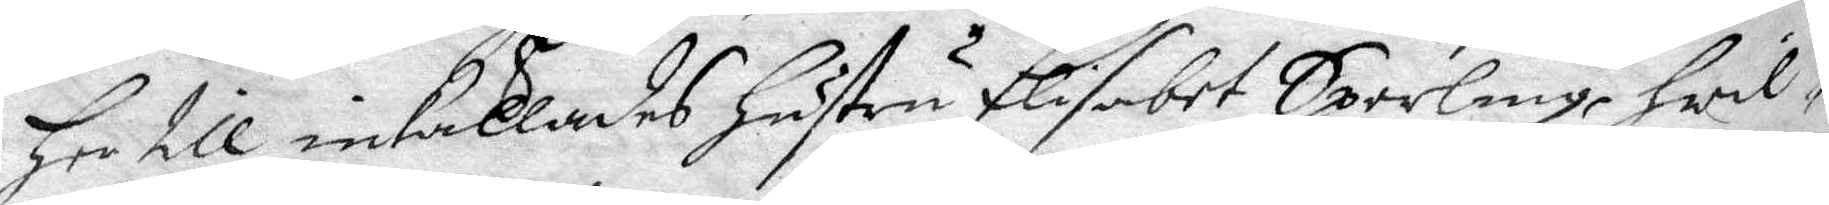her till inkallades hustru Elisabet Sperling, hwil¬
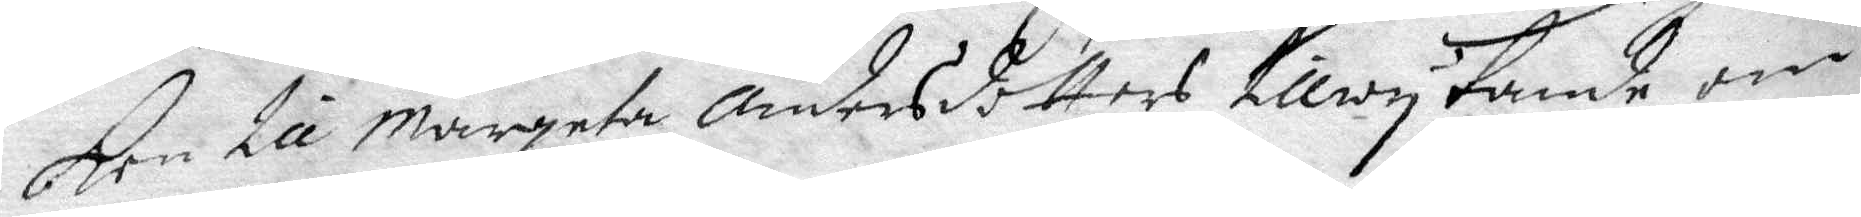ken till Margeta Andersdotters tillwytande om
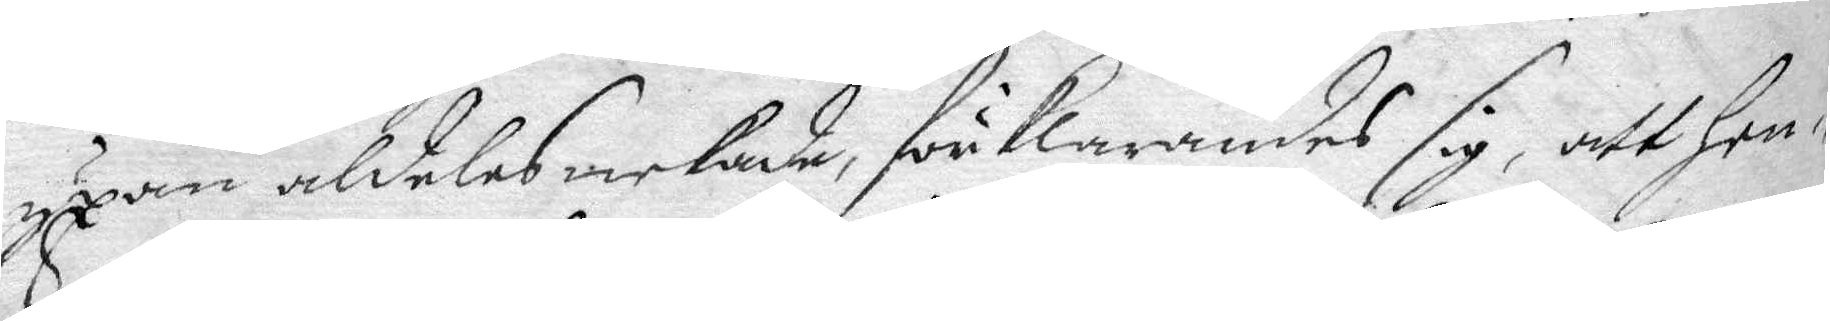yxan aldeles nekade, förklarandes sig, att hen¬
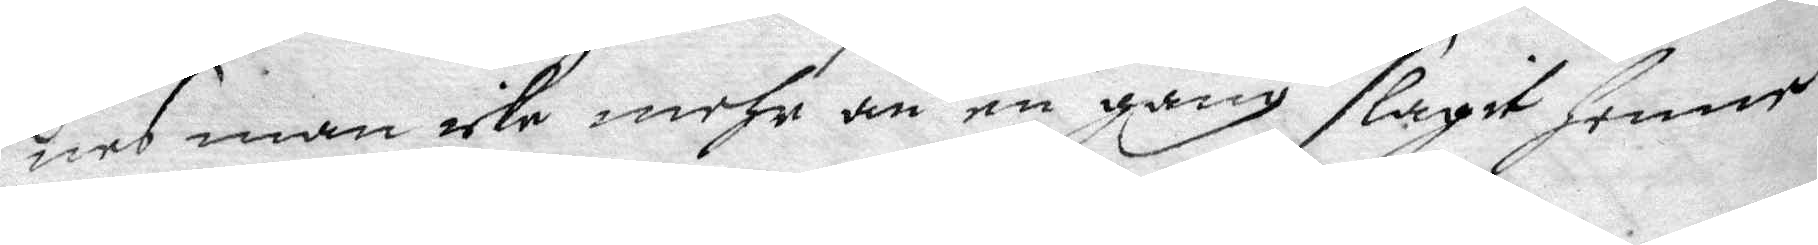nes man icke mcke mehra än en gång slagit henne
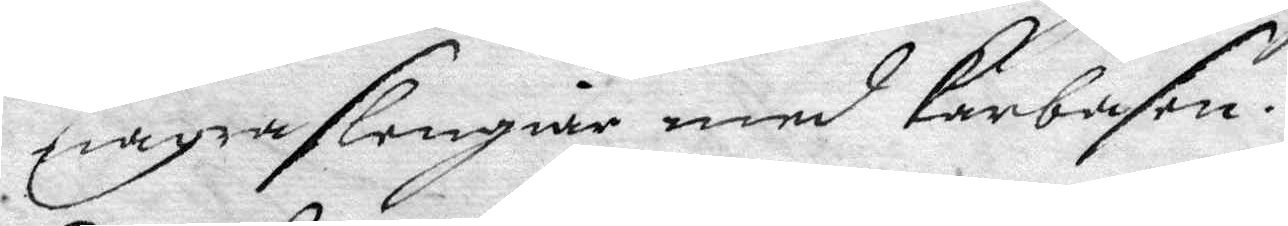några slengiar med karbasen.
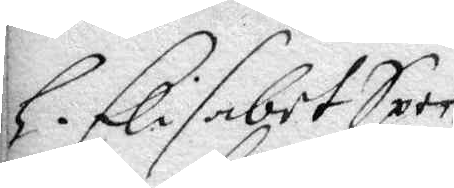h. Elisabet Sper¬
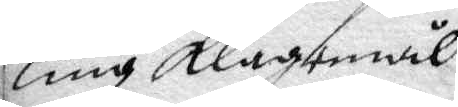ling klagomål
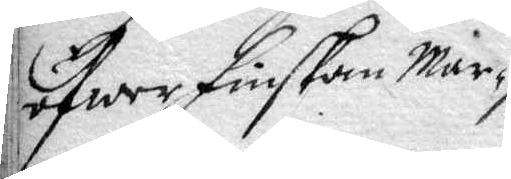öfwer Finskan Mar¬
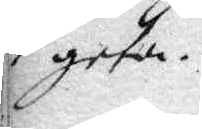geta
